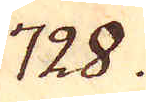728.
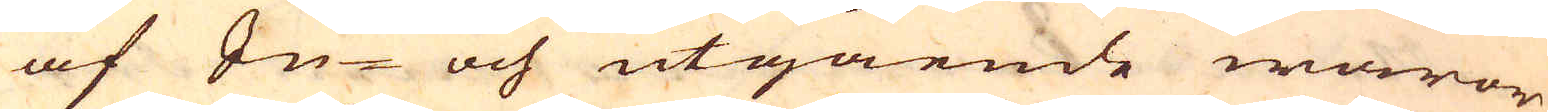af In- och utgående waror
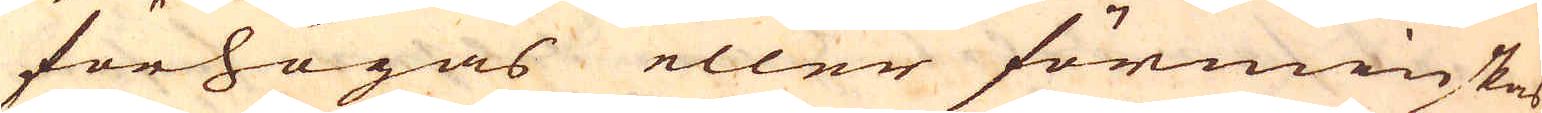förhögas eller förminskas
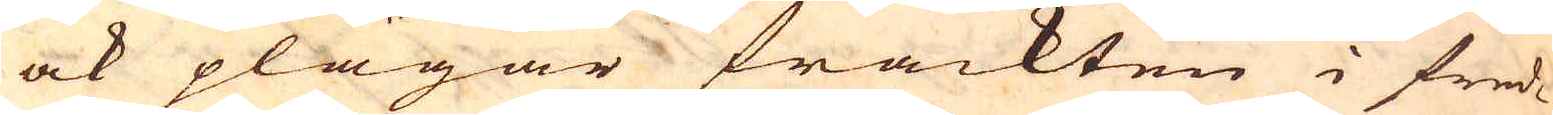ock plägar frackten i fred-
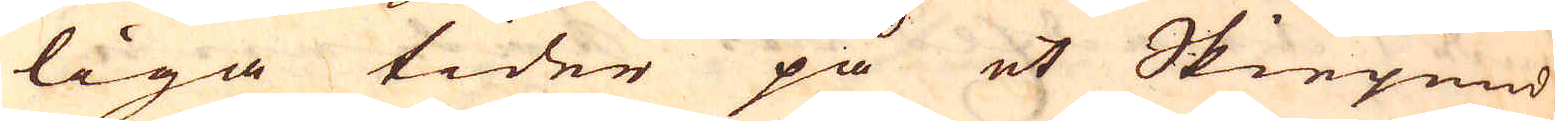liga tider på et Skiepund
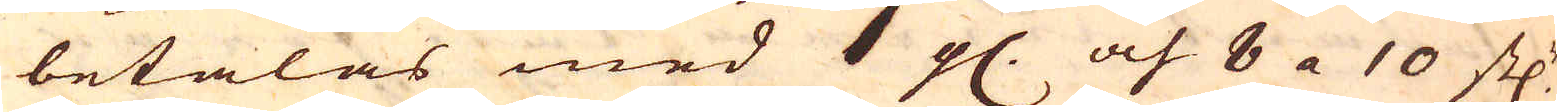betalas med 1 g. och 8 a 10 st:r
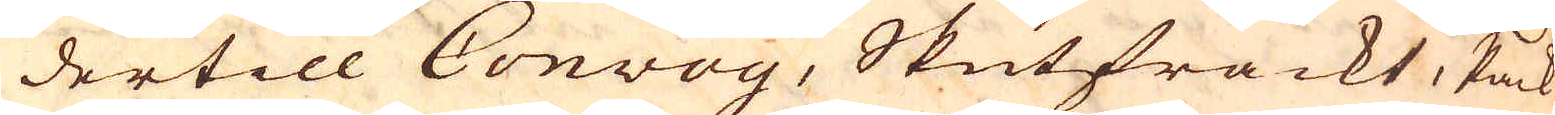dertill Convoy, Skutfrackt, Pack-
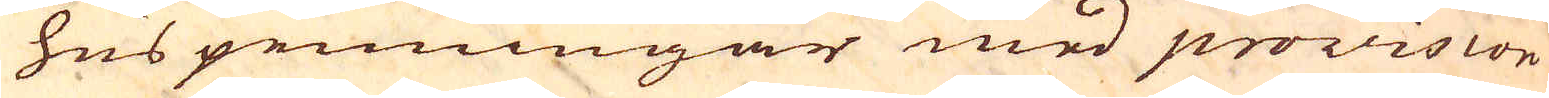huspenningar med provision
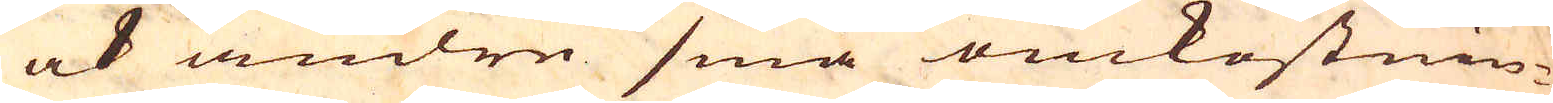ock andre små omkostnin-
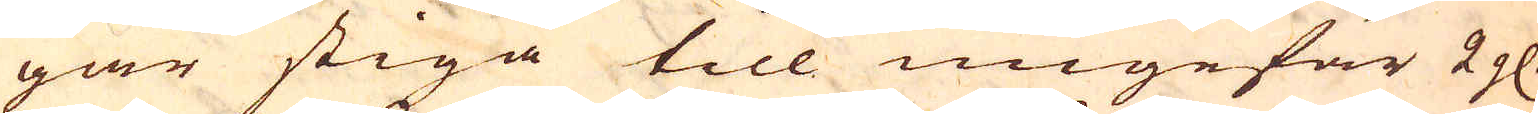gar stiga till ungefär 2 g.
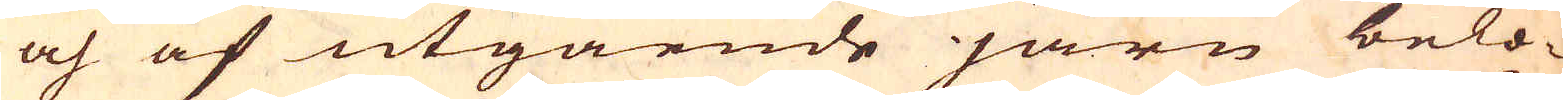och af utgående järn belö-
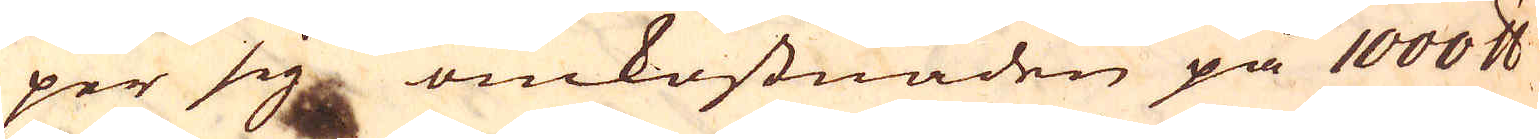per sig omkostnaden på 1000 skålpund
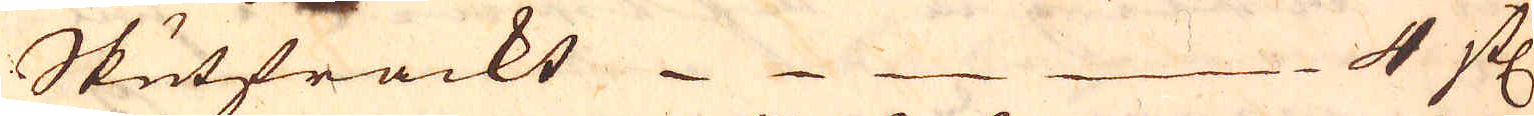Skutfrackt 4 st:
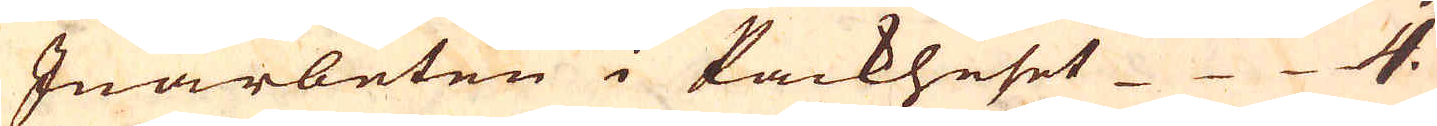Inarbeten i Packhuset 4.
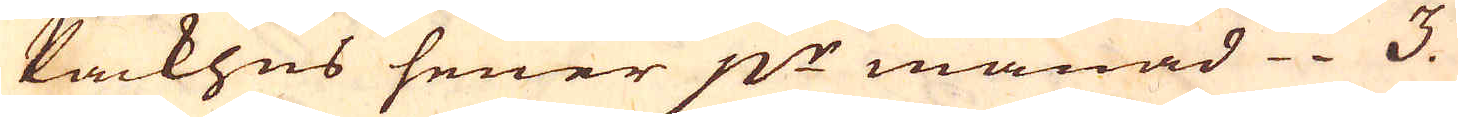Packhus sener p:r månad 3.
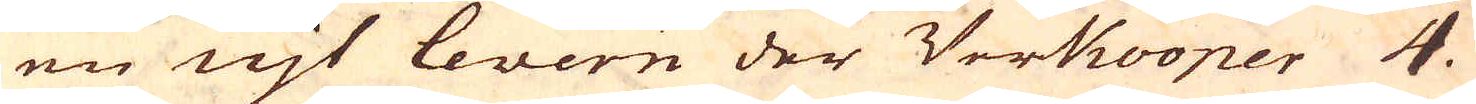en njt levern der Verkooper 4.
